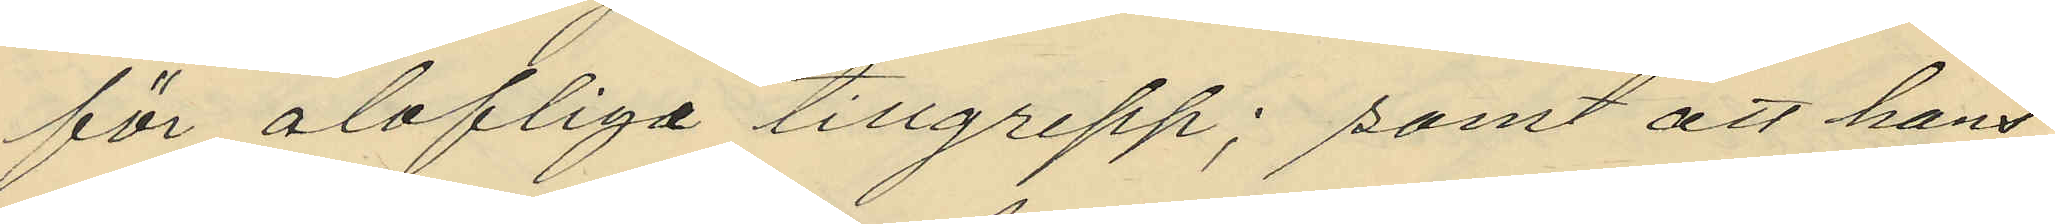för olofliga tillgrepp; samt att hans
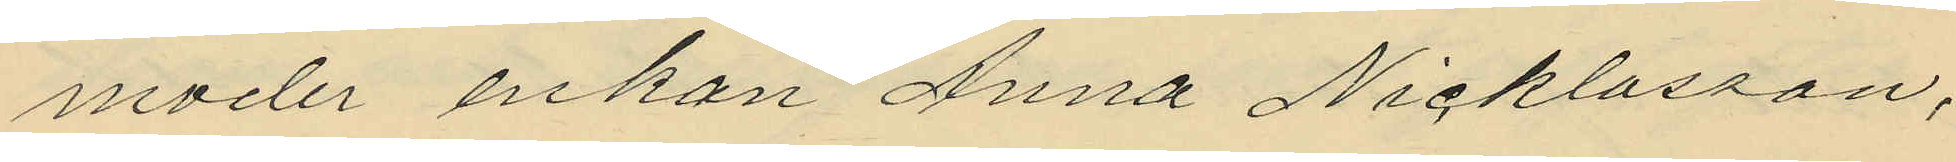moder enkan Anna Nicklasson,
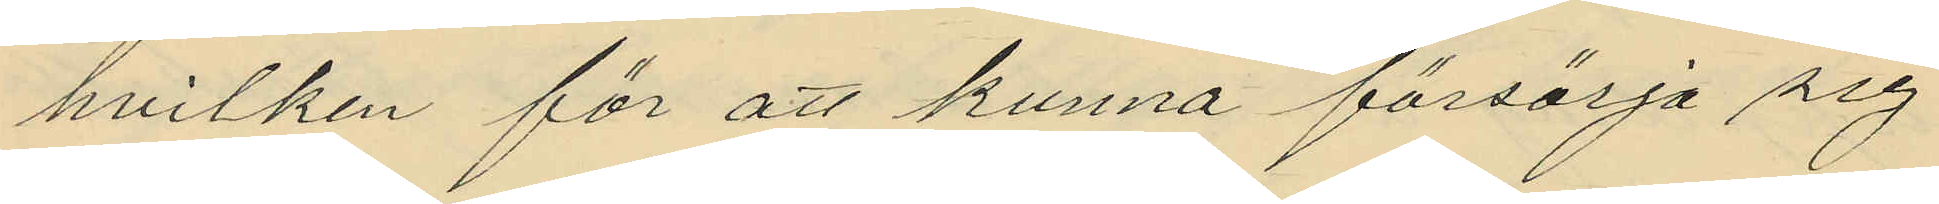hvilken för att kunna försörja sig
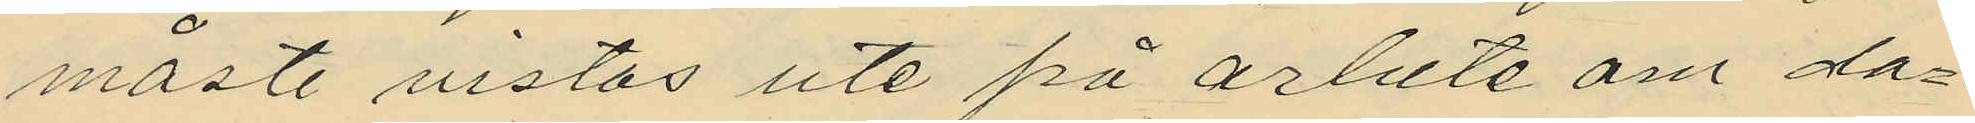måste vistas ute på arbete om da¬
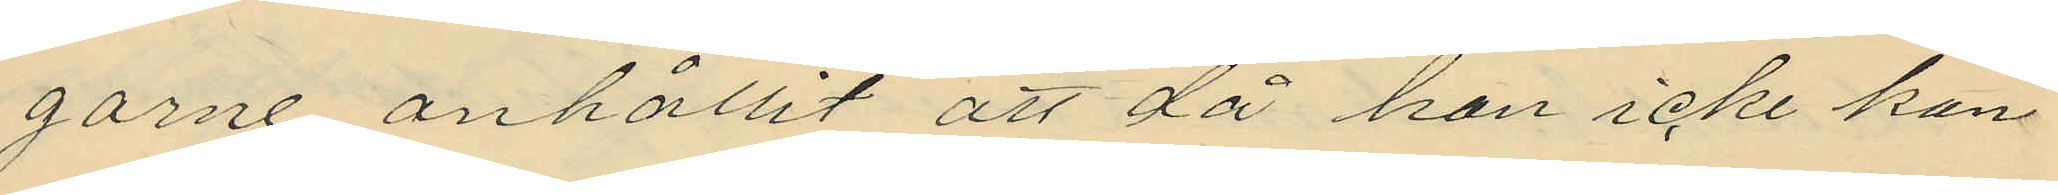garne anhållit att då hon icke kan
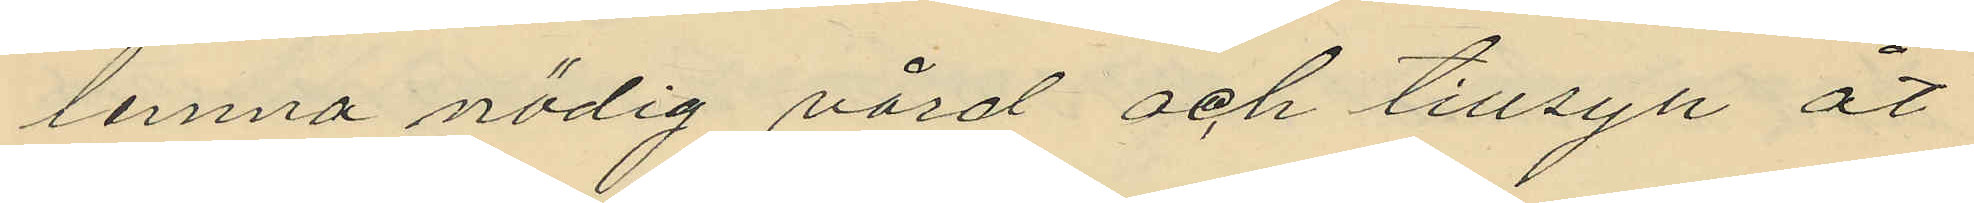lemna nödig vård och tillsyn åt
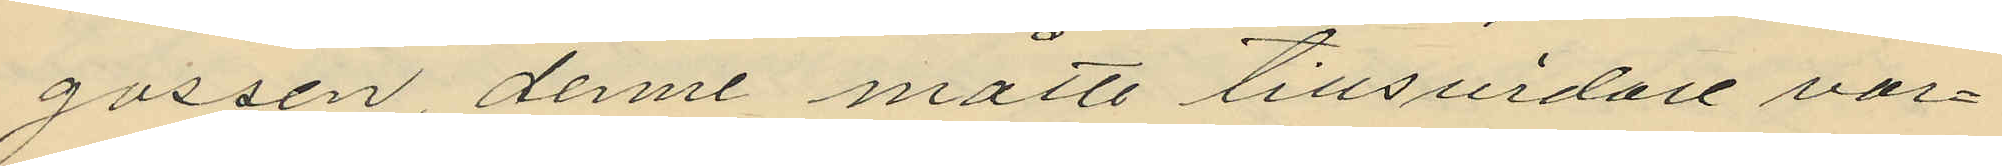gossen, denne måtte tillsvidare var¬
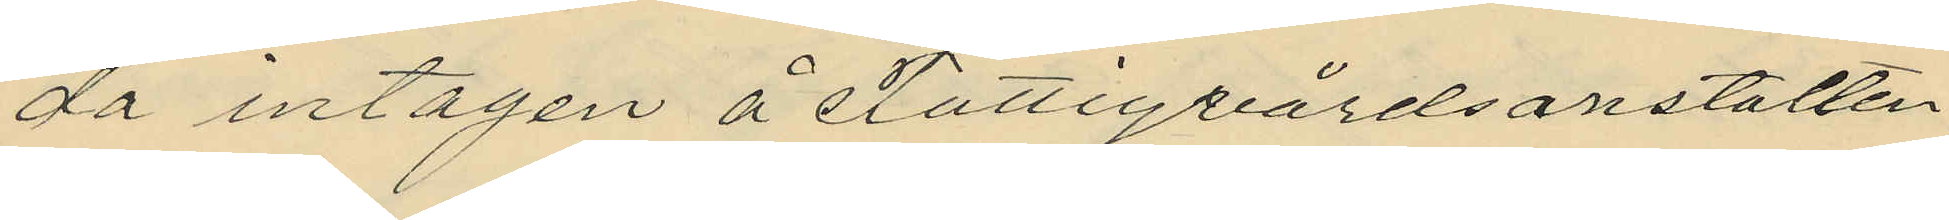da intagen å Fattigvårdsanstalten
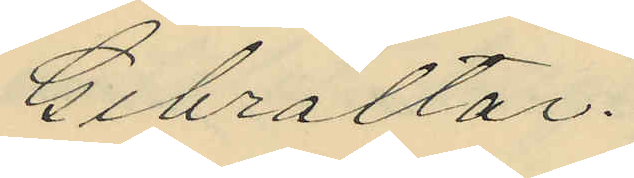Gibraltar.
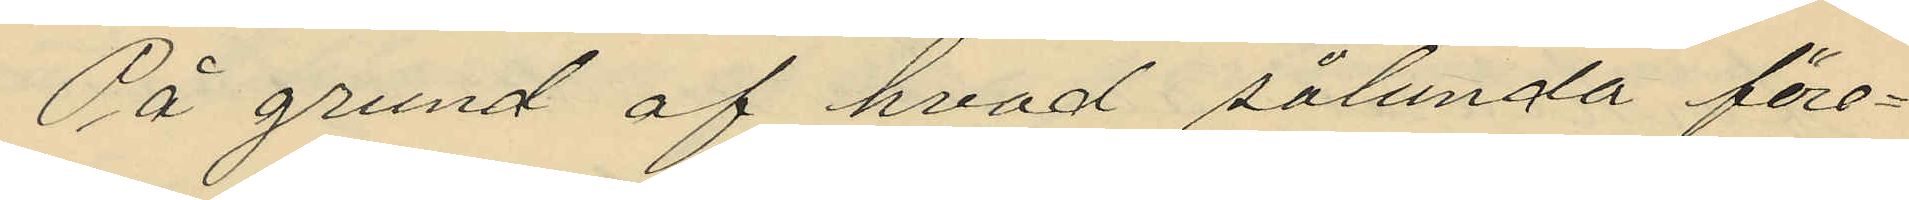På grund af hvad sålunda före¬
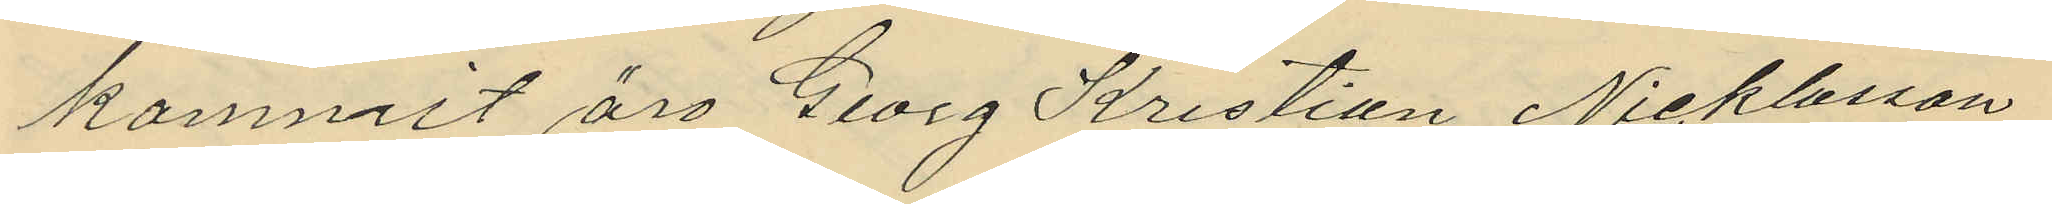kommit äro Georg Kristian Nicklasson,
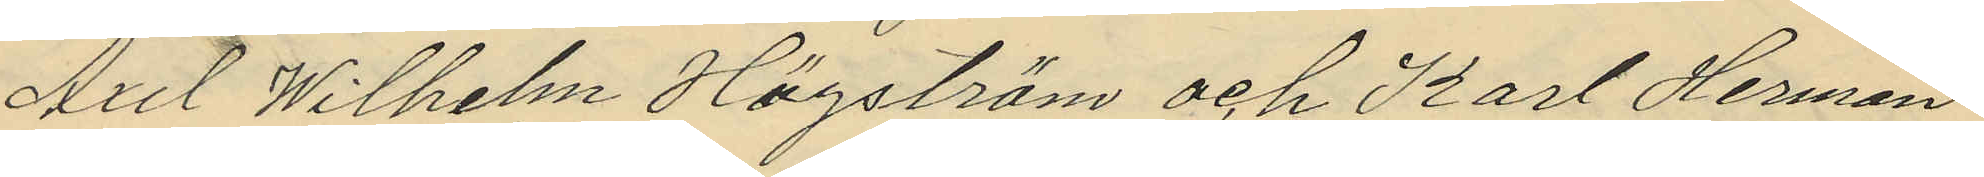Axel Wilhelm Högström och Karl Herman
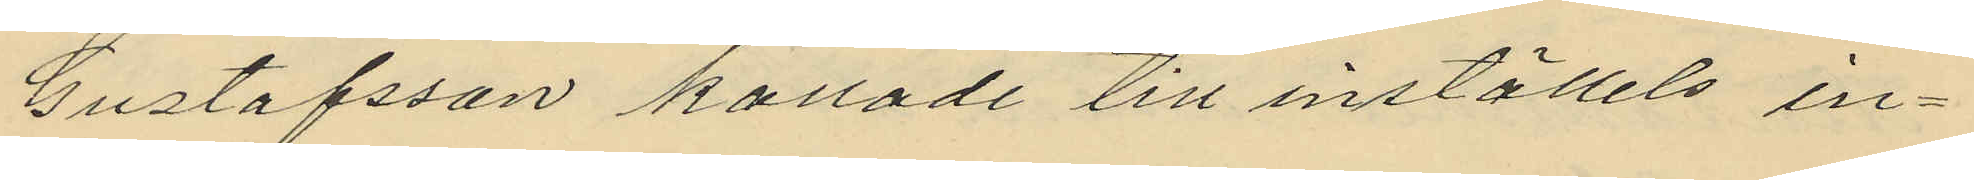Gustafsson kallade till inställelse in¬
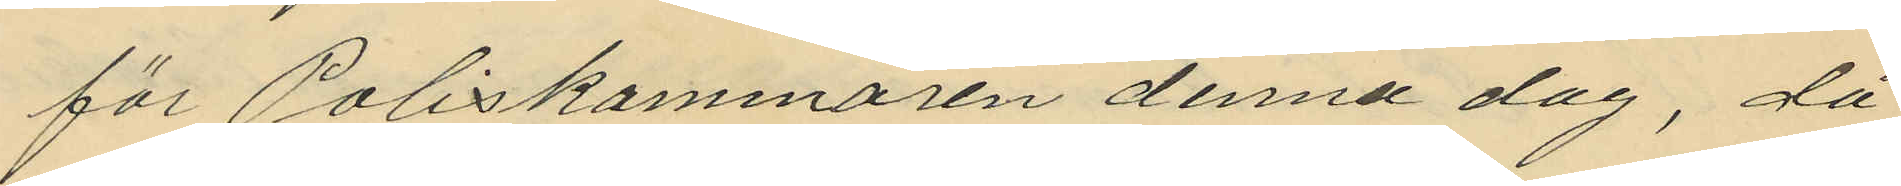för Poliskammaren denna dag, då
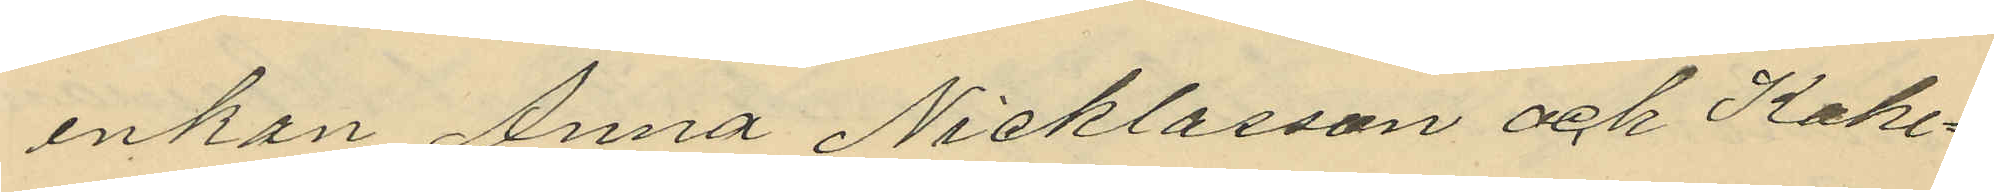enkan Anna Nicklasson och Kake¬
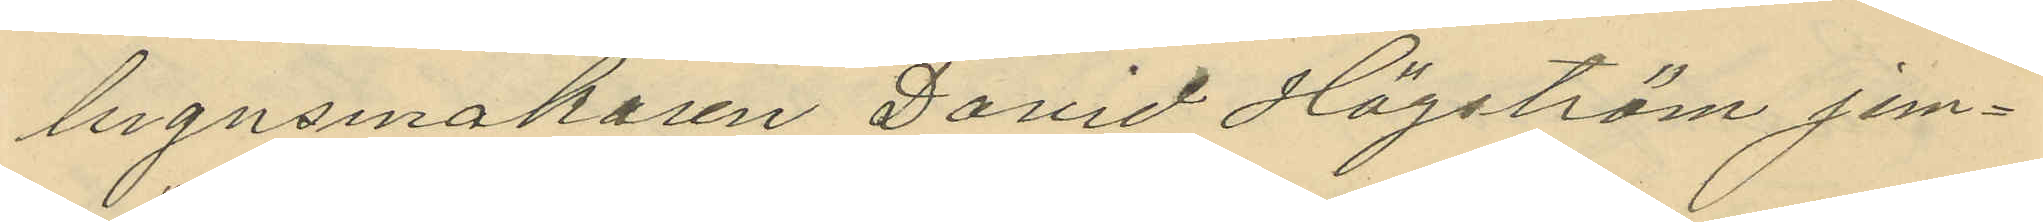lugnsmakaren David Högström jem¬
